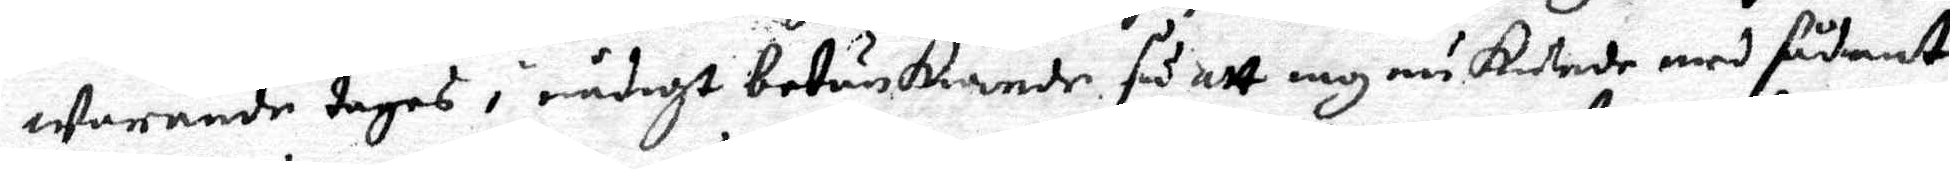warande tages i nådigt betänkiande, så att iag nu Katade med sådant 
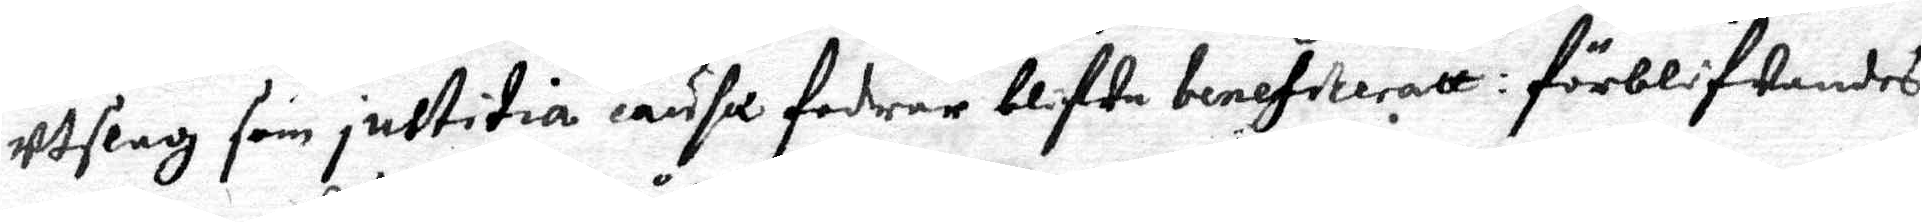utslag som justitia wusa fodrar blifwa benefiteratt: förblifwandes
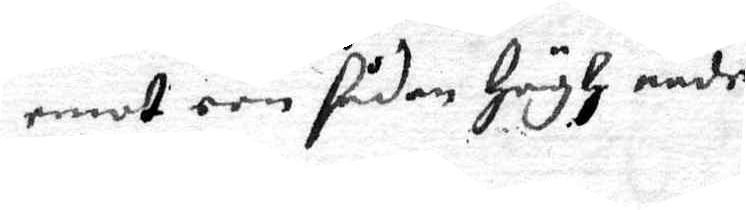emot een sådan Högh nåde
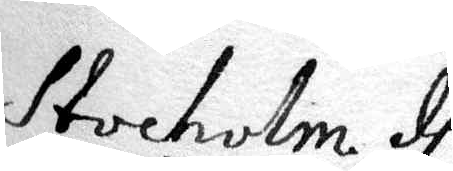Stockolm de
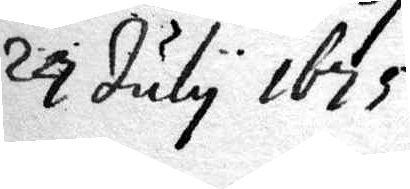24 July 1675
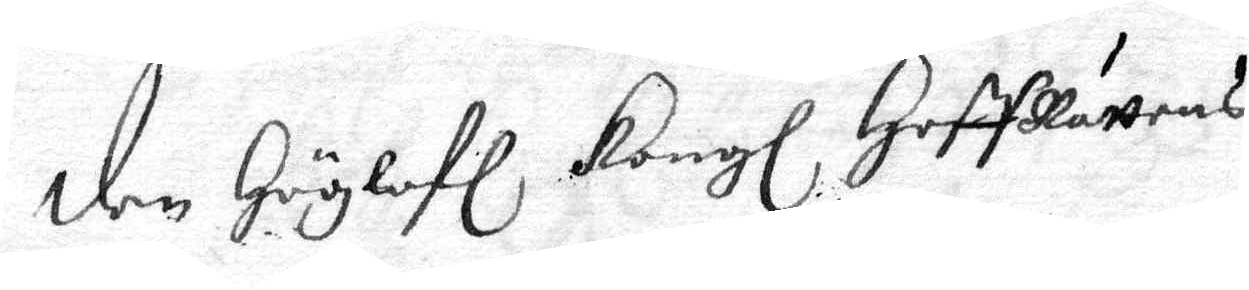den Höglofl. Kongl. Hoff Rättens
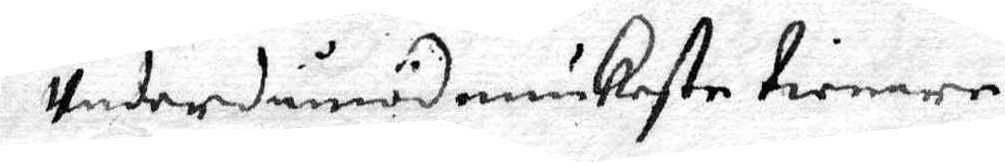Underdånödmiukaste tienare
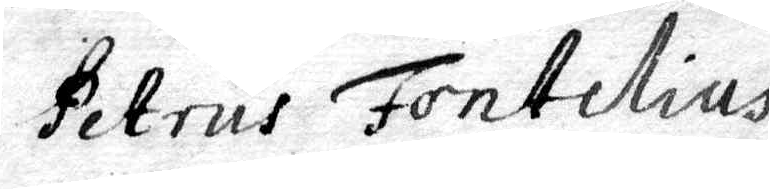Petrus Fontelius
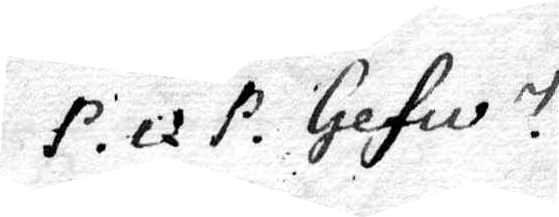P. Q. P. Gefle.
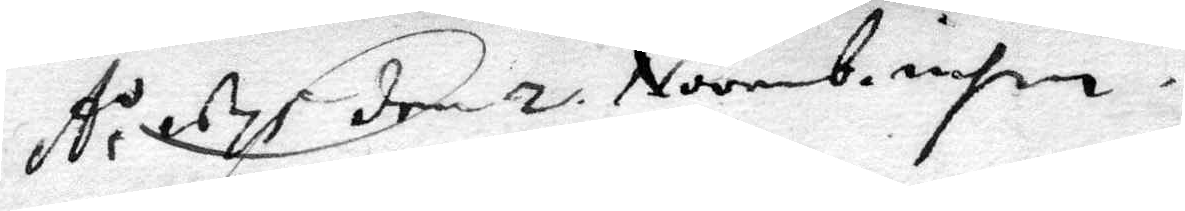År 1675 den 2 Novemb. infin.
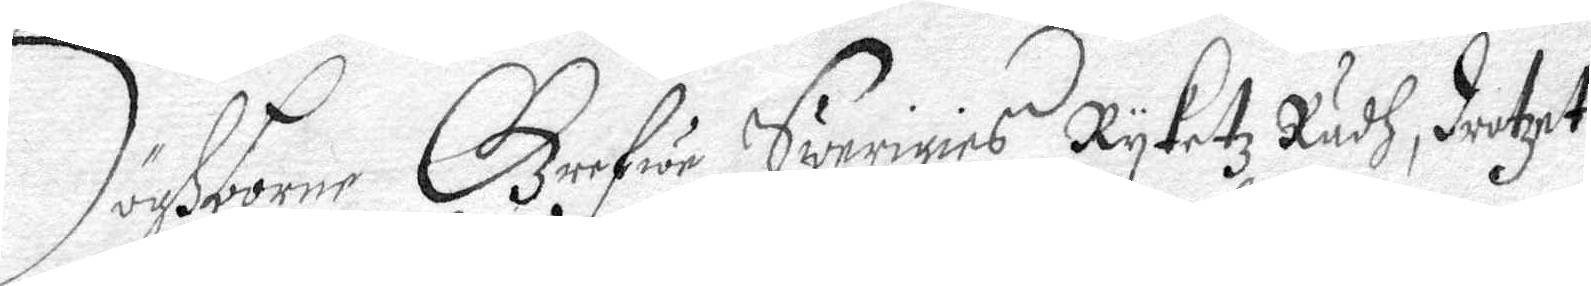Höghborne Grefwe Swerigies Ryketz Rådh, drotzet
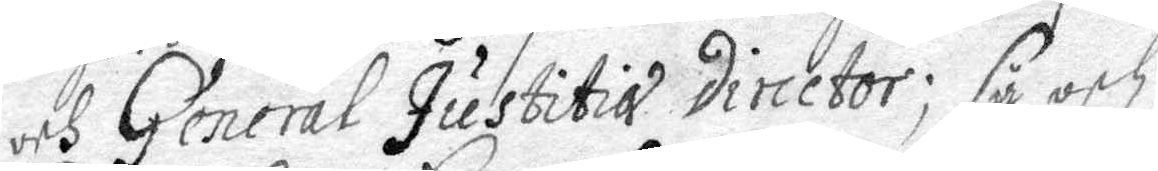och General Justitia director; så och
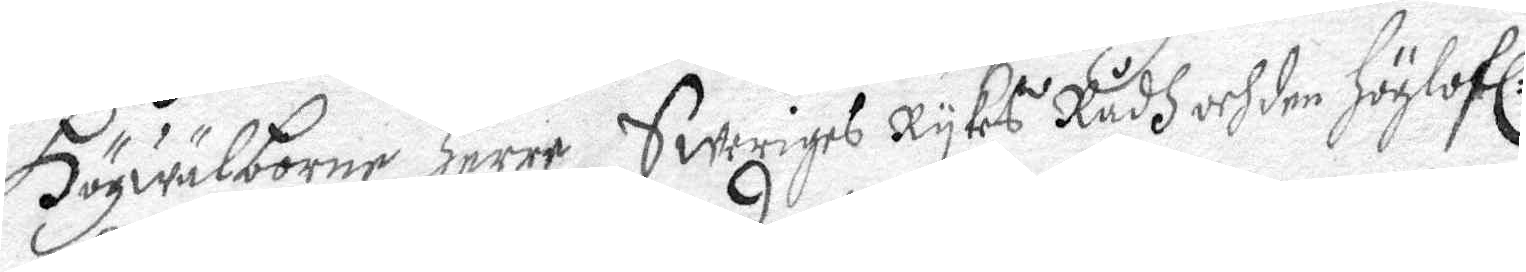Högwälborne Herre Sweriges Rykes Rådh och den Höglofl:
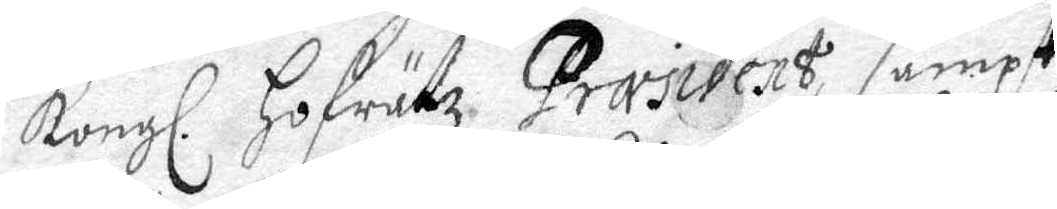Kongl. Hofrättz Præsident, sampt
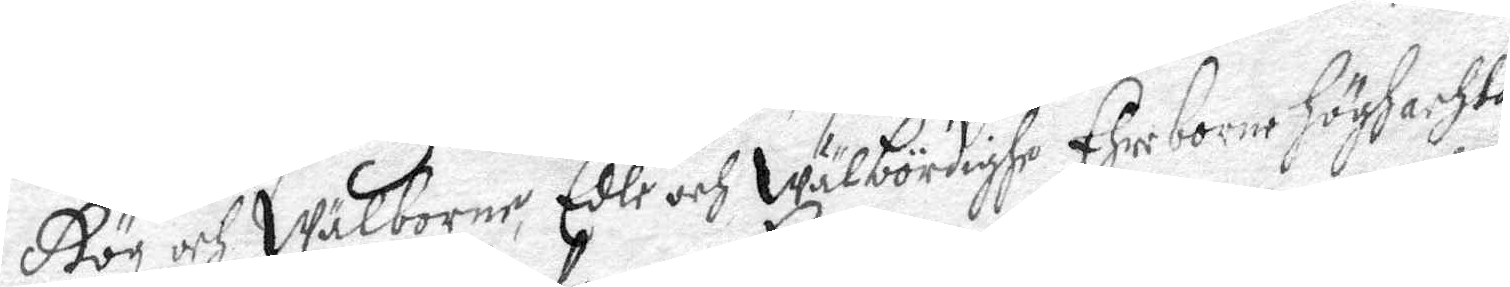Hög och Wälborne, Edle och Wälbördighe Ehreborne Höghachta¬
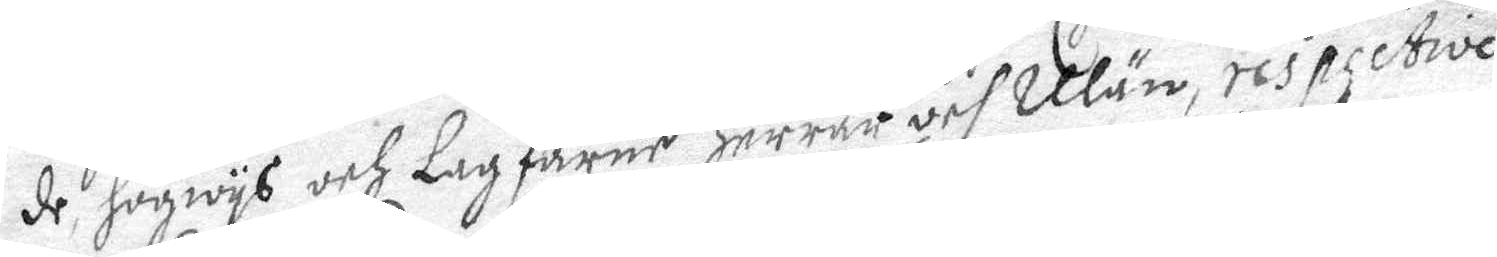de, Högwys och Lagfarne Herrar och Män, respective
